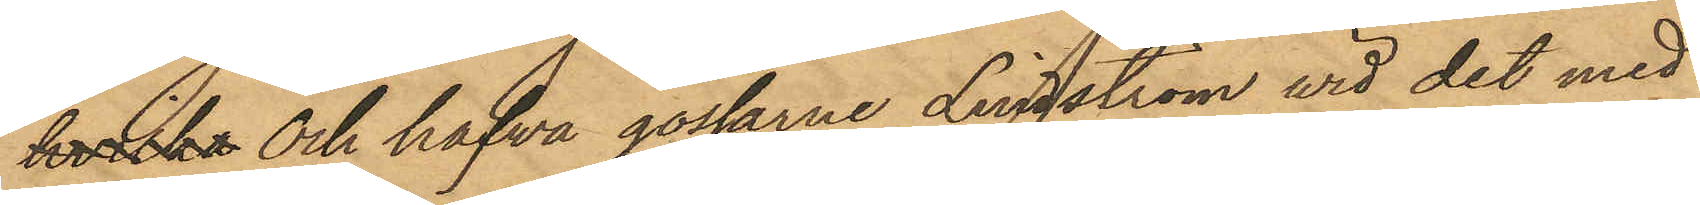hvilka och hafva gossarne Lindström vid det med
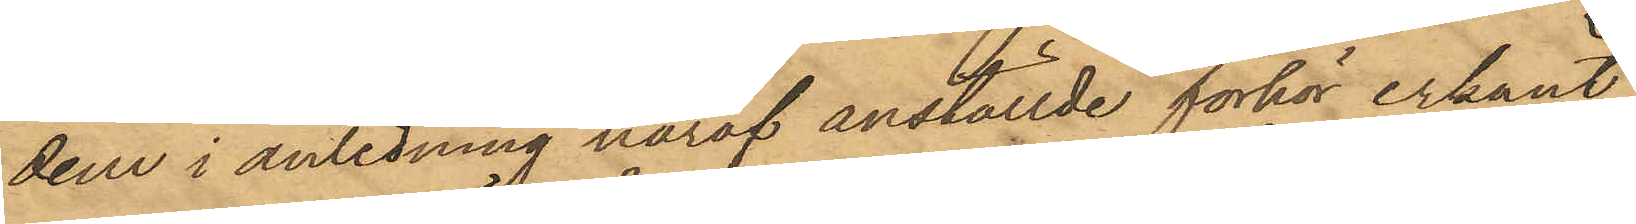dem i anledning häraf anställde förhör erkänt,
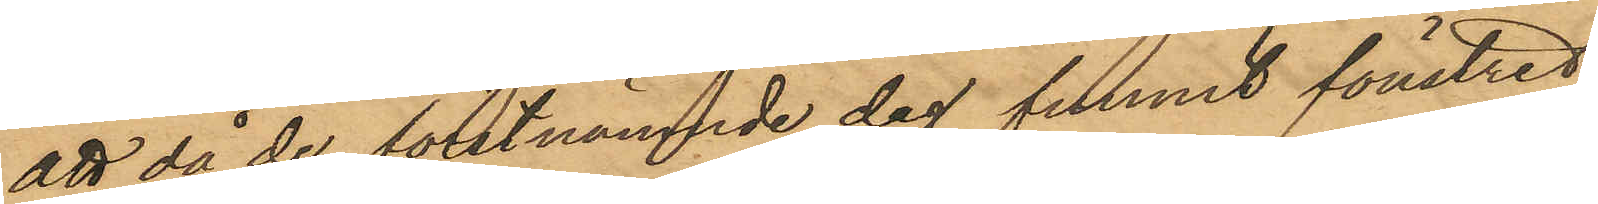att då de förstnämnde dag funnit fönstret
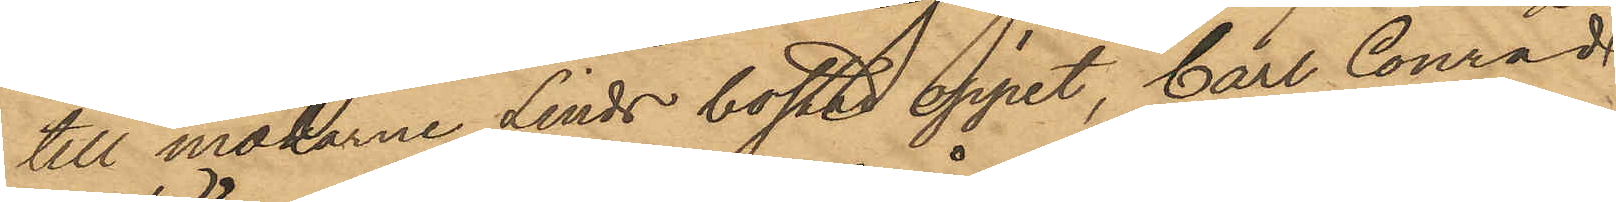till makarne Linds bostad öppet, Carl Conrad
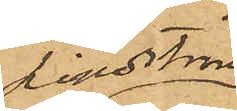Lindtröm
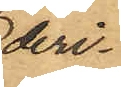deri¬
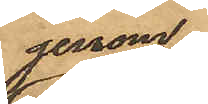genom
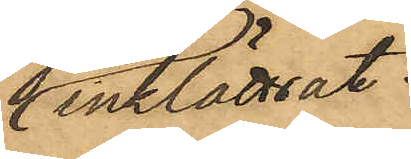inklättrat
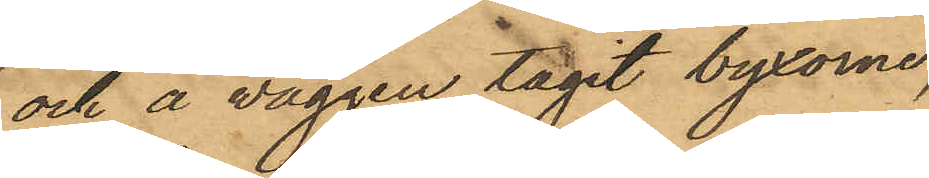och å väggen tagit byxorna,
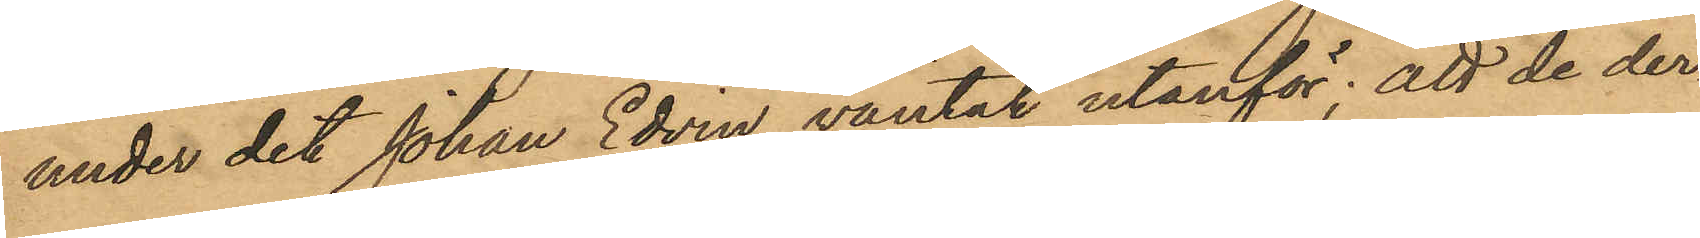under det Johan Edvin väntat utanför; att de der¬
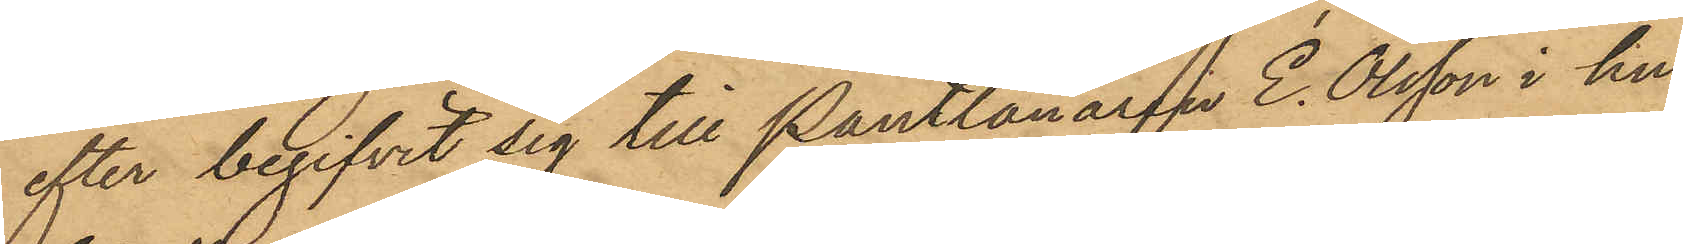efter begifvit sig till Pantlånaren E. Olsson i hu¬
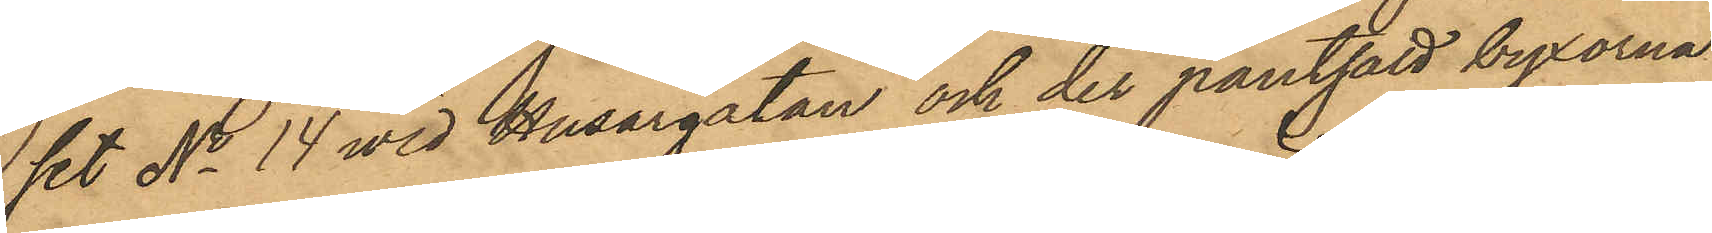set No 14 wid Husargatan och der pantsatt byxorna
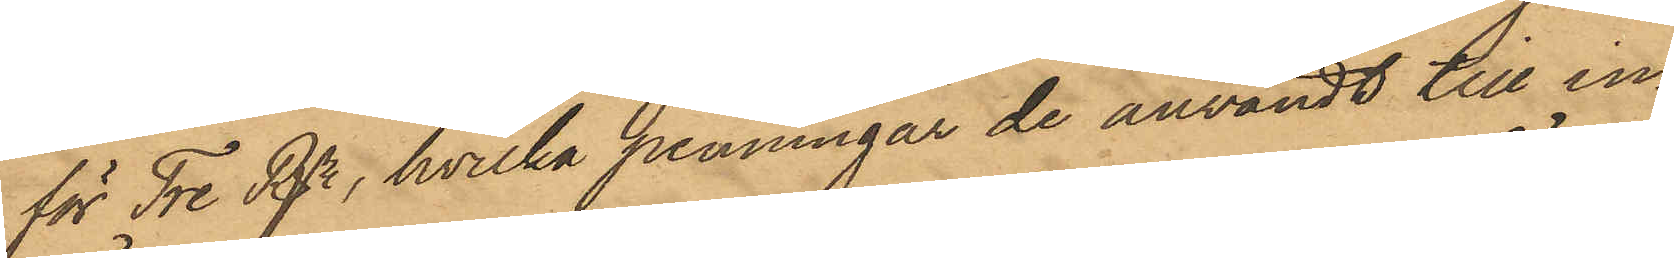för Tre Rdr, hvilka penningar de användt till in¬
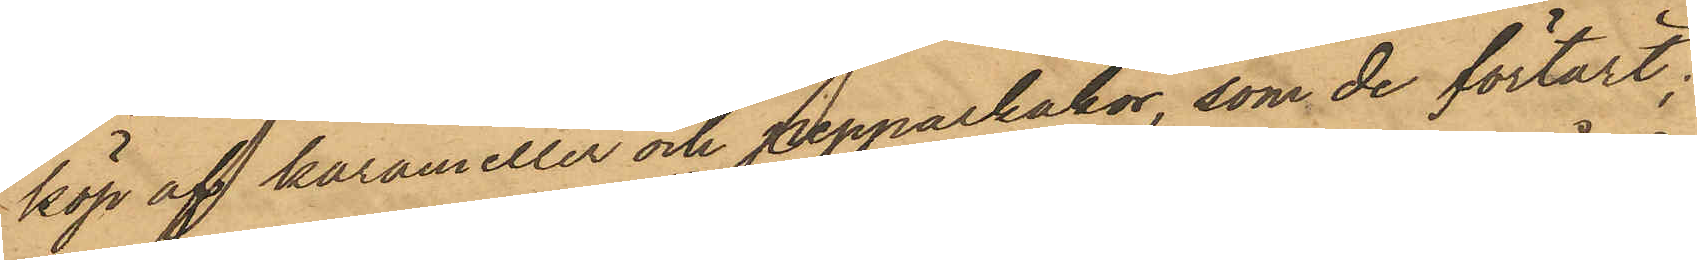köp af karameller och pepparkakor, som de förtärt;
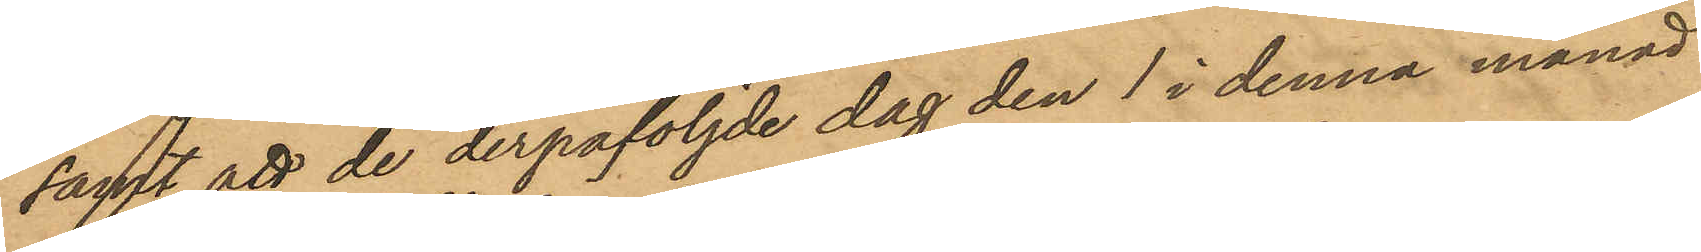samt att de derpåföljde dag den 1 i denna månad
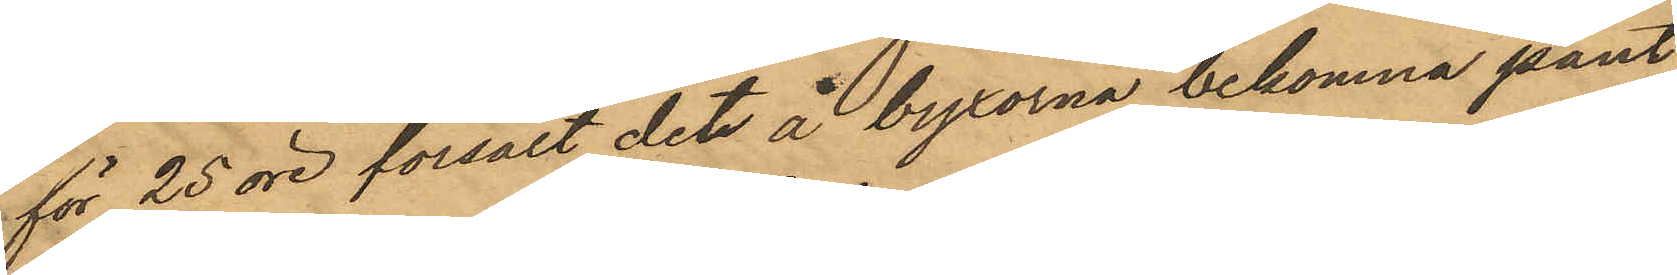för 25 öre försålt det å byxorna bekomna pant¬
